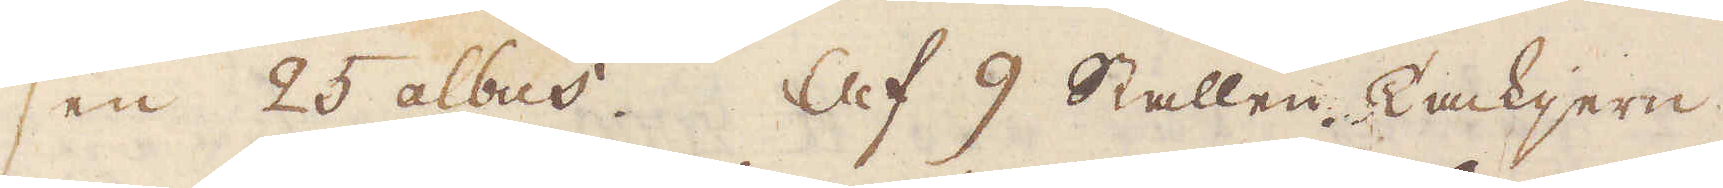sen 25 albus. Af 9 Stallen Tackjern
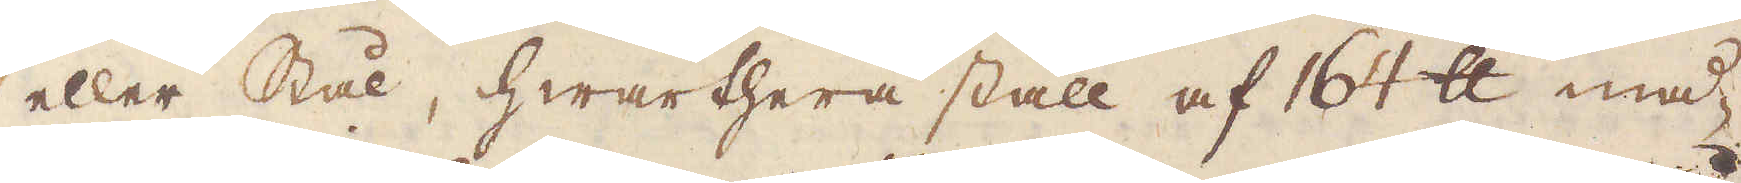eller Stål, hwarthera stall af 164 skålpund må-
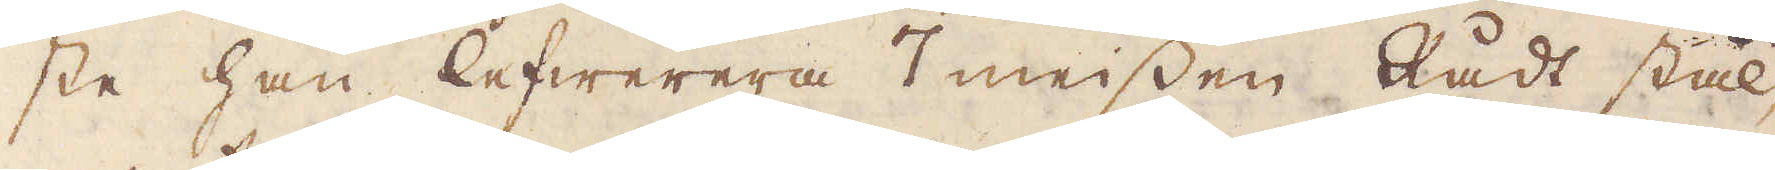ste han lefwerera 7 meissen Rådt stål,
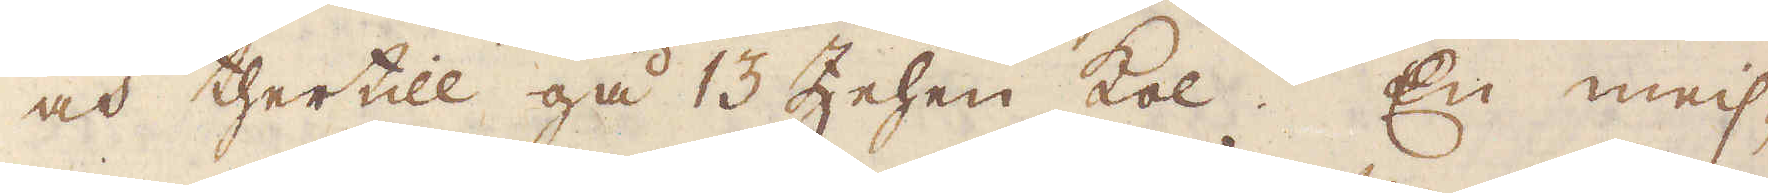och thertill gå 13 Zehen kol. En mei-
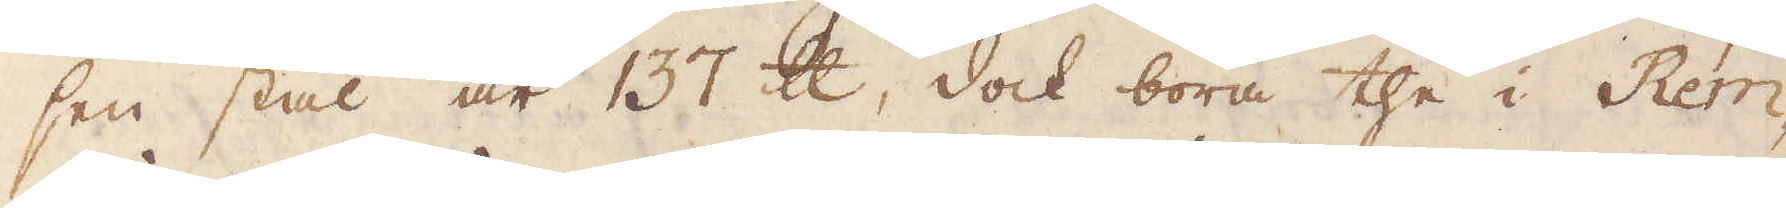sen stål är 137 skålpund, dock böra the i Rem-
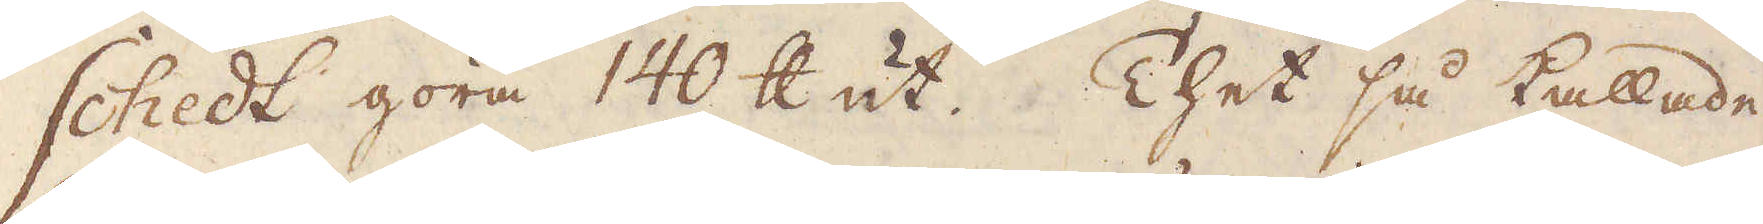shedt göra 140 skålpund ut. Thet så kallade
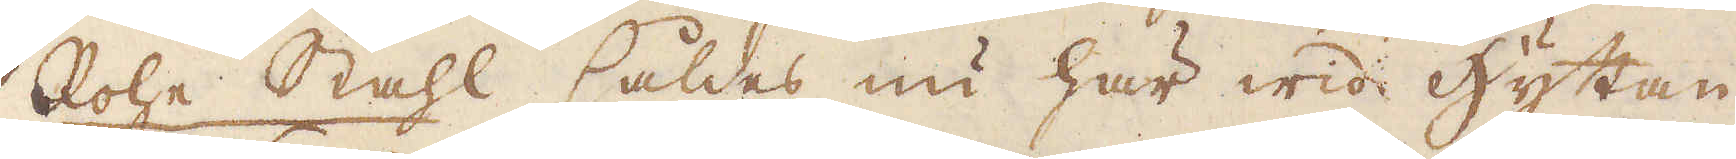Rohe Stahl såldes nu här wid hyttan
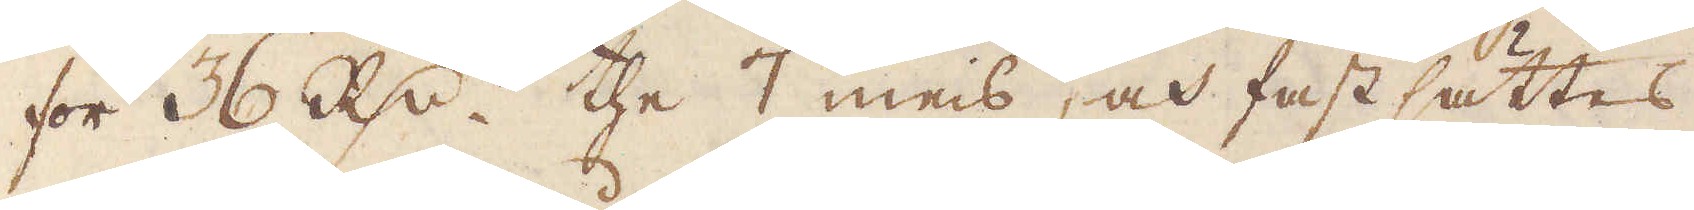för 36 R:dr the 7 meis, och fast sättes
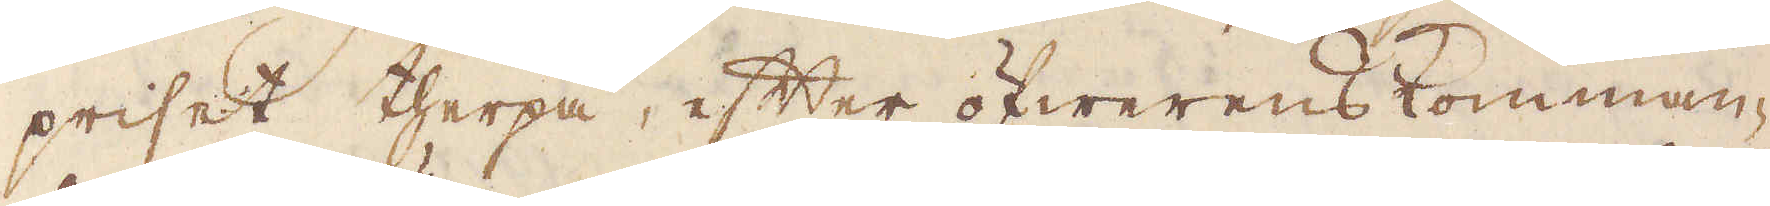priset therpå, efter öfwerenskomman-
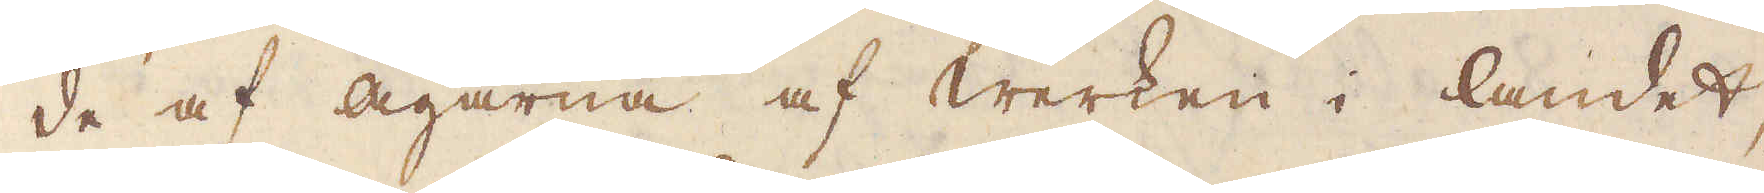de af Ägarna af Werken i landet,
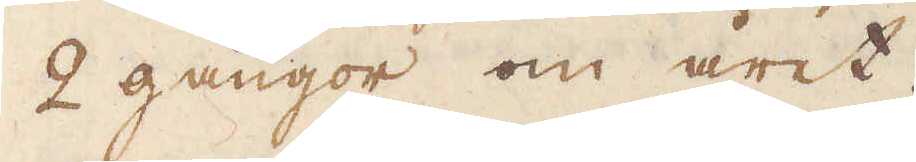2 gångor om året.
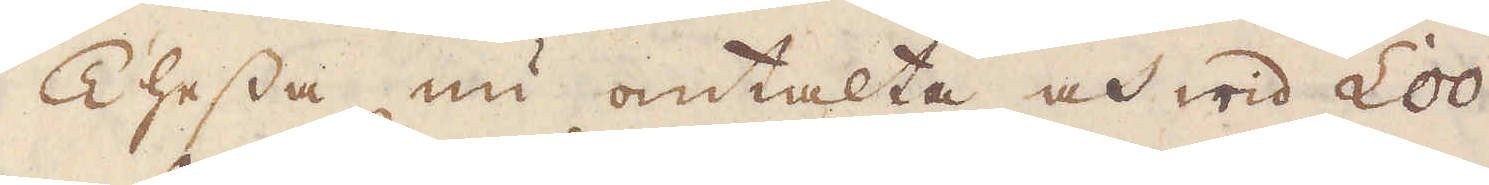Thessa nu omtalta och wid Loo
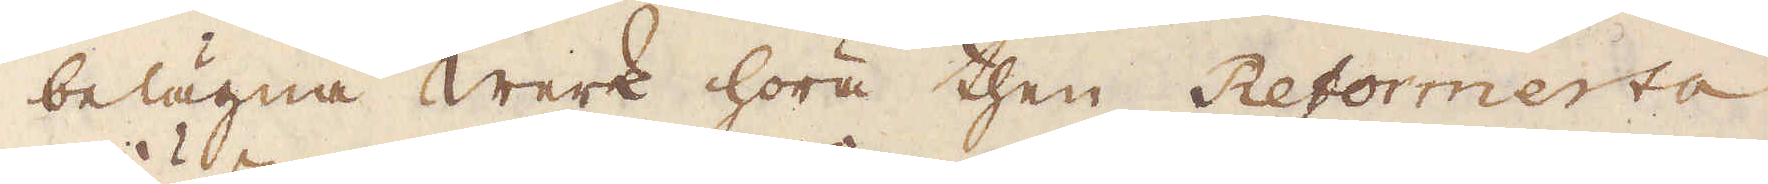belägna werk höra then Reformerta
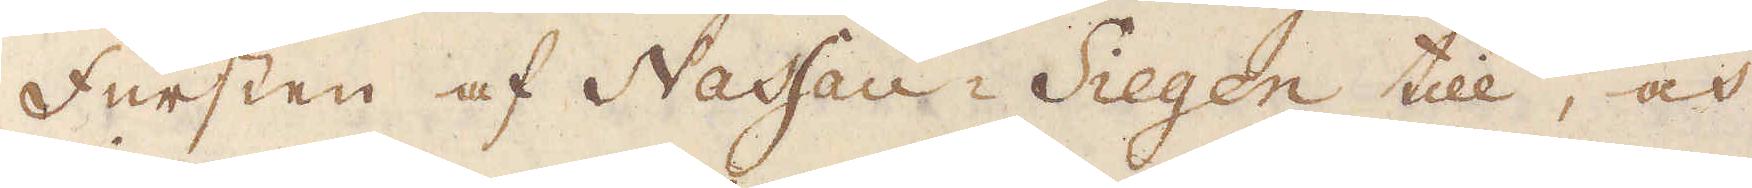Fursten af Nassau-Siegen till, och
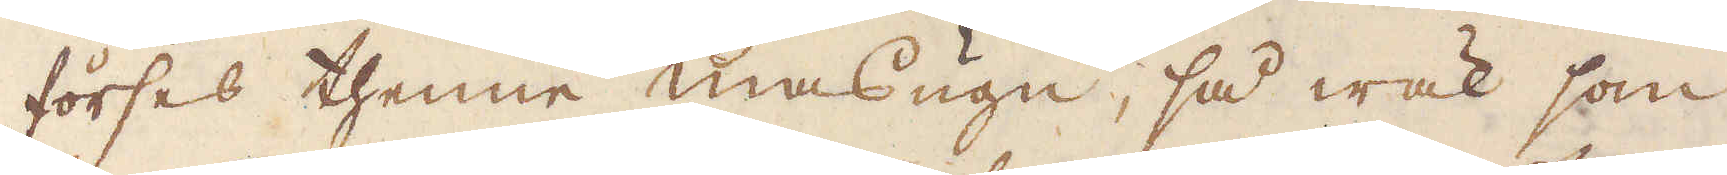förses thenne masugn, så wäl som
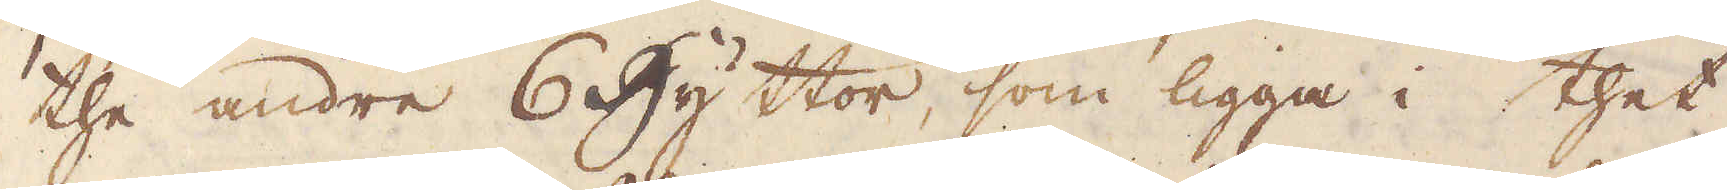the andre 6 hyttor, som ligga i thet
